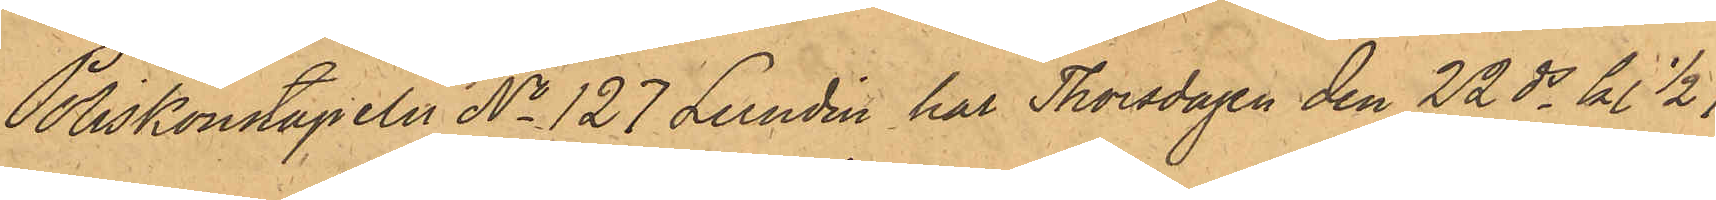Poliskonstapeln No 127 Lundin har Thorsdagen den 22 ds kl. 1/2 7
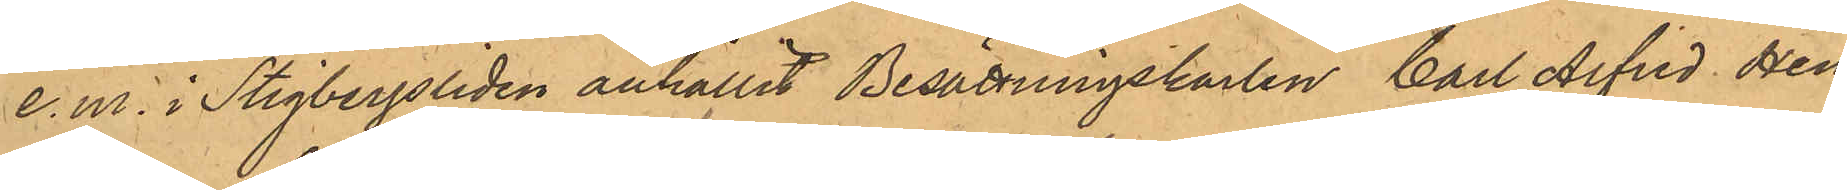e.m. i Stigbergsliden anhållit Besättningskarlen Carl Alfred Hen¬
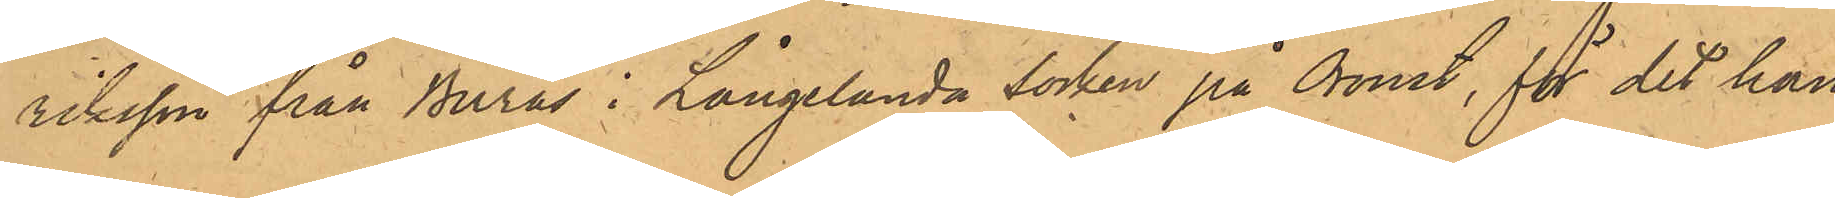riksson från Burås i Långelanda Socken på Oroust, för det han
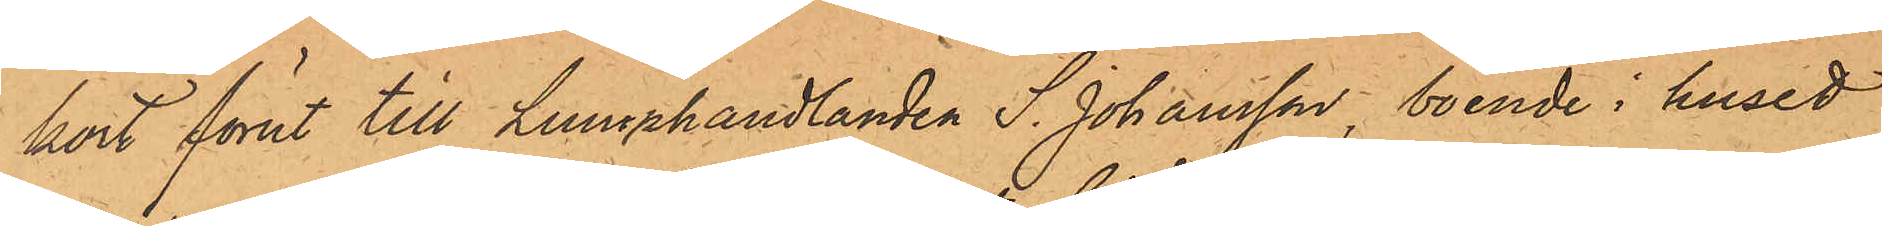kort förut till Lumphandlanden S. Johansson, boende i huset
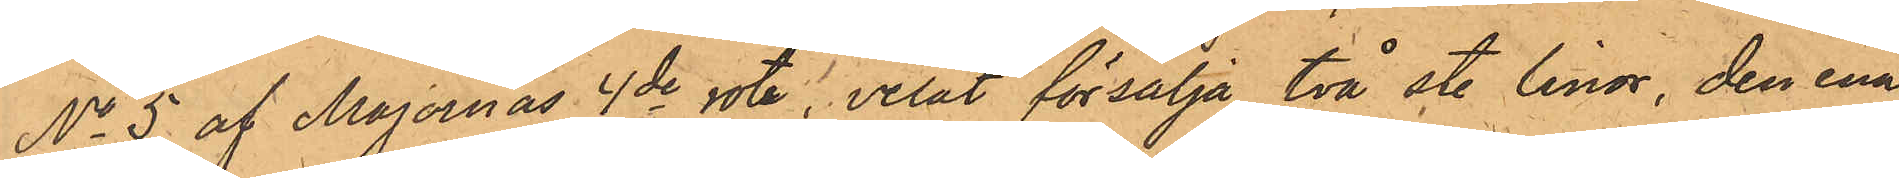No 5 af Majornas 4de rote, velat försälja två st. linor, den ena
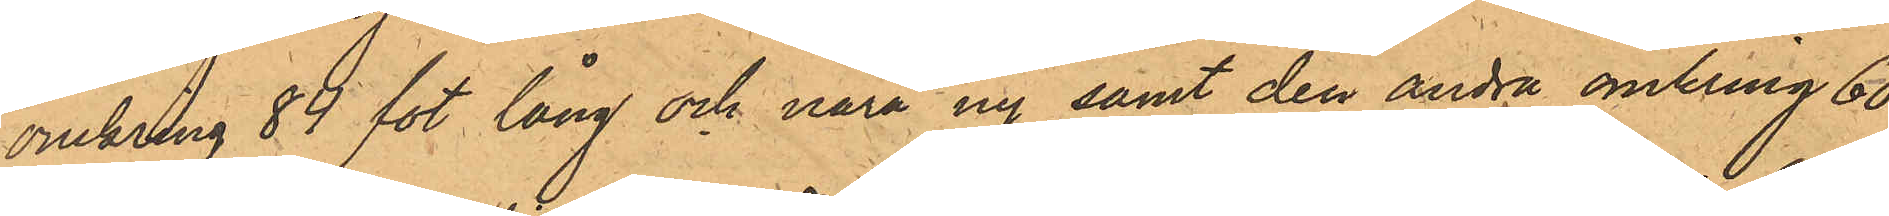omkring 84 fot lång och nära ny samt den andra omkring 60
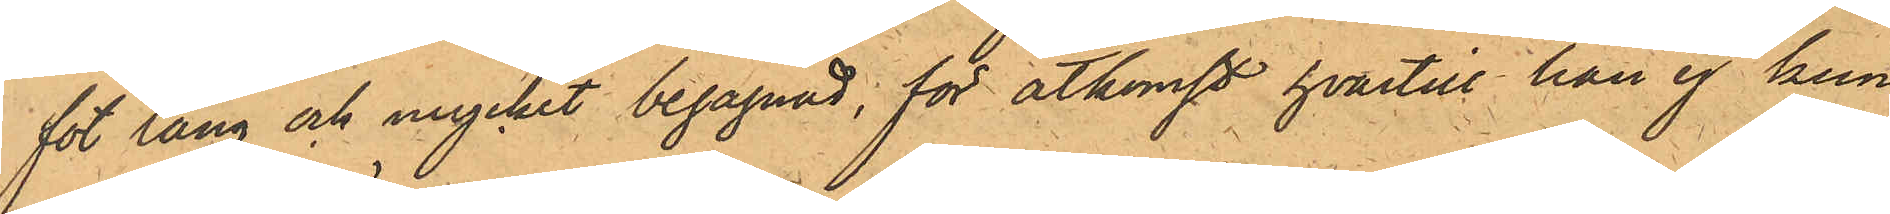fot lång och mycket begagnad; för åtkomst hvartill han ej kun¬
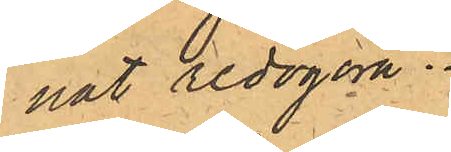nat redogöra.
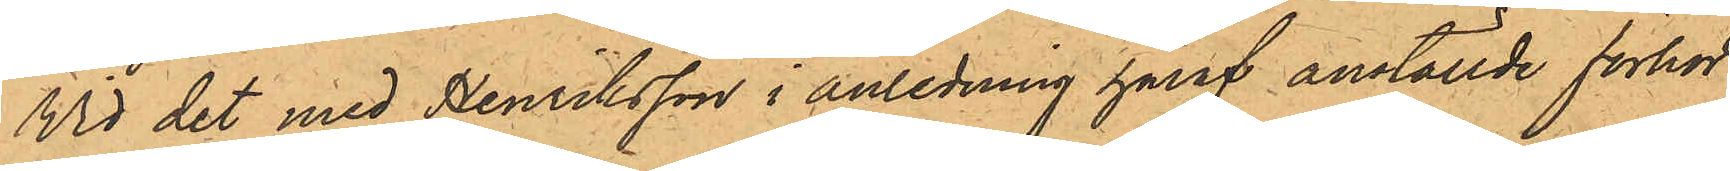Vid det med Henriksson i anledning häraf anställde förhör
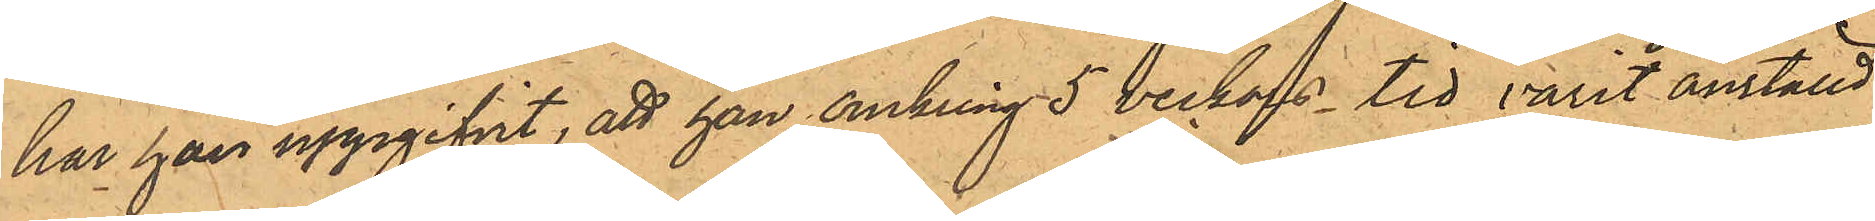har han uppgifvit, att han omkring 5 veckors tid varit anställd
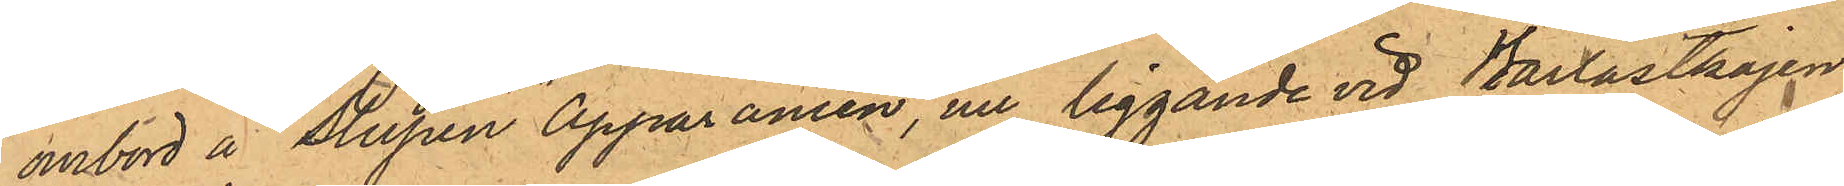ombord å slupen "Apparancen", nu liggande vid Barlastkajen
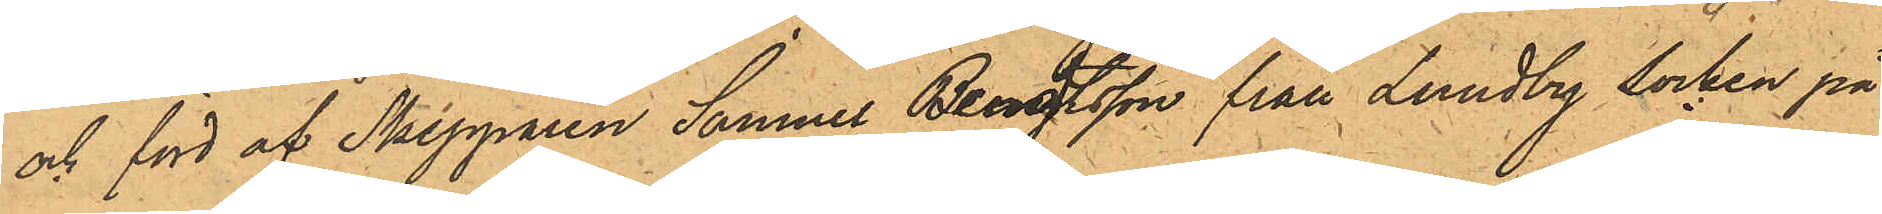och förd af Skepparen Samuel Berndtsson från Lundby Socken på
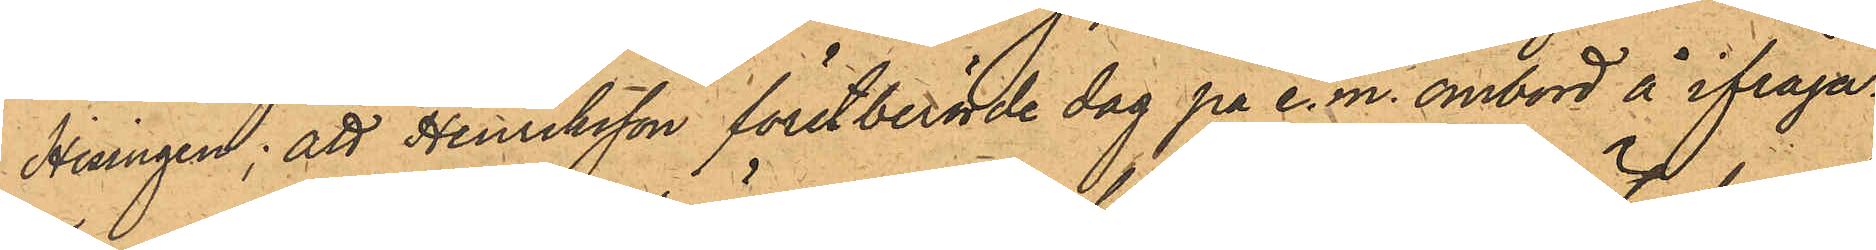Hisingen; att Henriksson förstberörde dag på e.m. ombord å ifråga¬
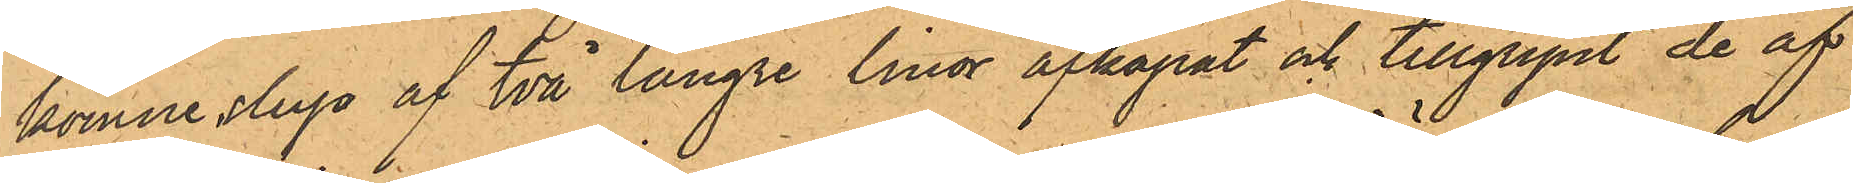komne slup af två längre linor afkapat och tillgripit de af
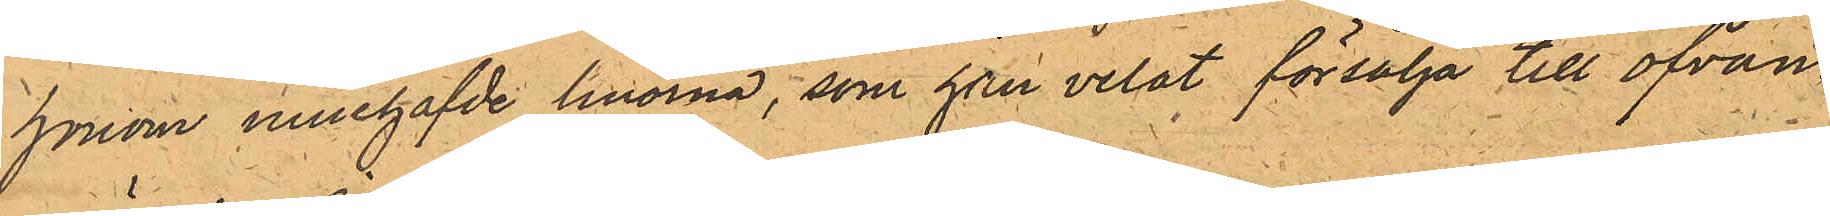honom innehafde linorna, som han velat försälja till ofvan¬
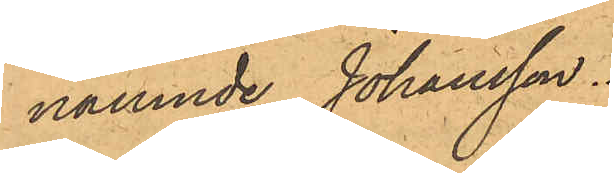nämnde, Johansson.
